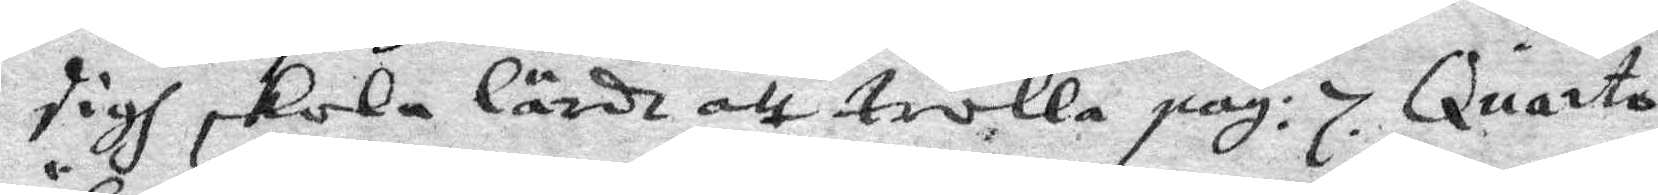sigh skola lärdt att trolla pag: 7. Quarto,
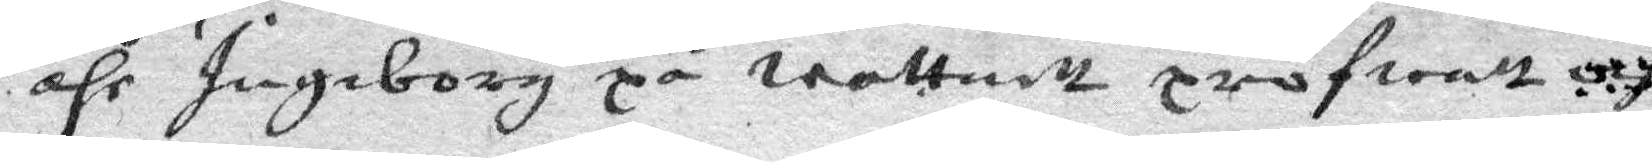ähr Ingeborg på wattnett profwatt och
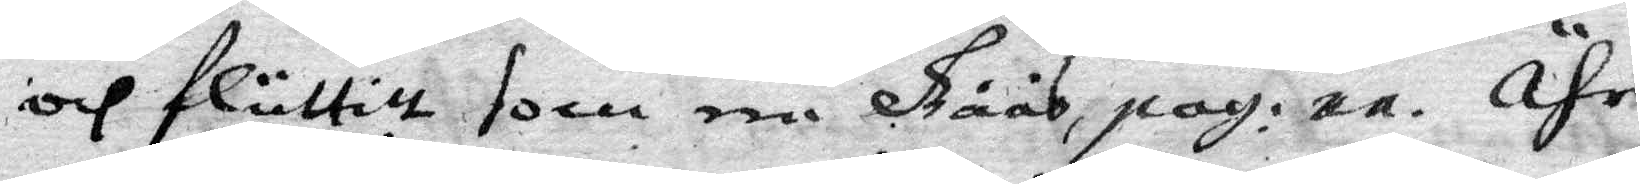och fluttitt som een Gåås, pag. 11. Ähr
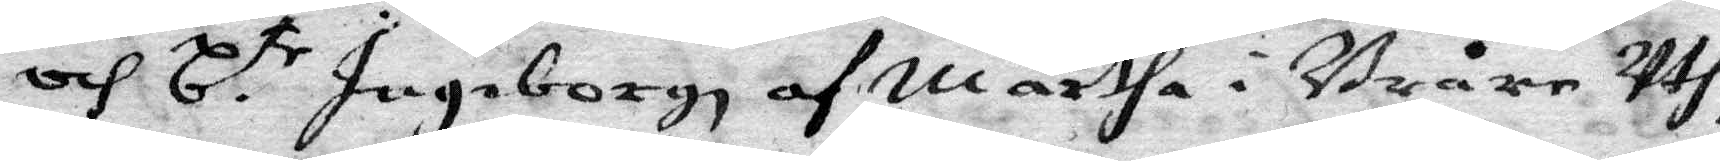och b.te Ingeborgh af Märtha i Bråre Uth¬
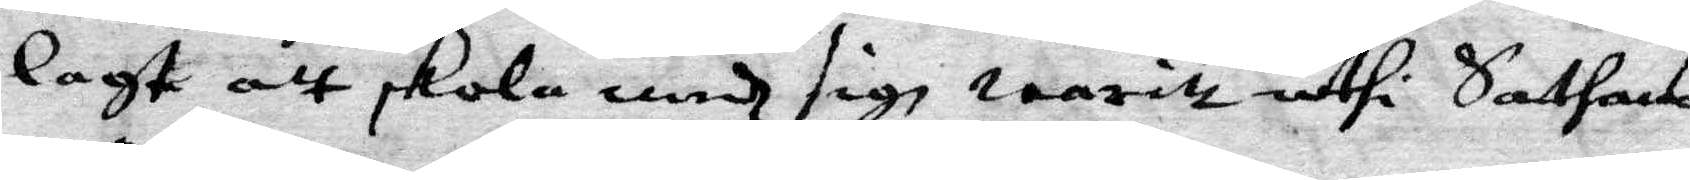lagt att skola medh sigh waritt uthi Sathans
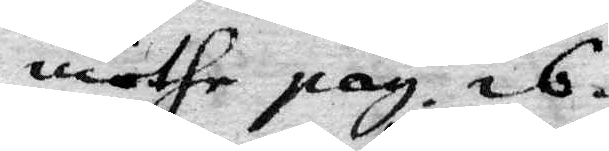möthe pag. 16.
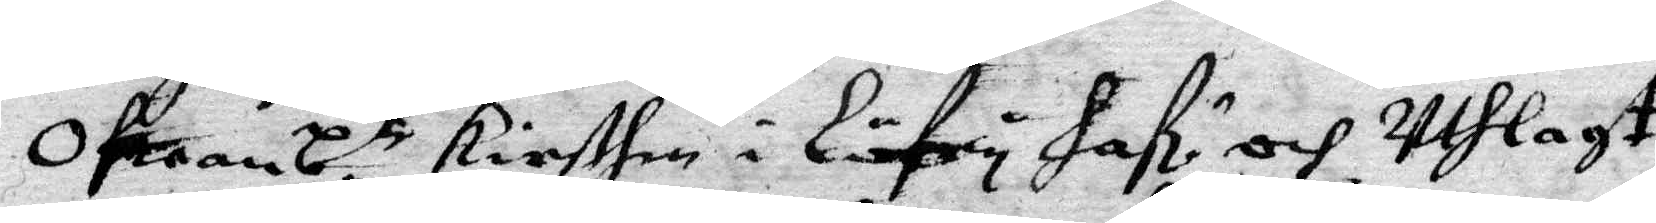Ofwanb.te Kirsthin i Löfry Haf: och Uthlagt
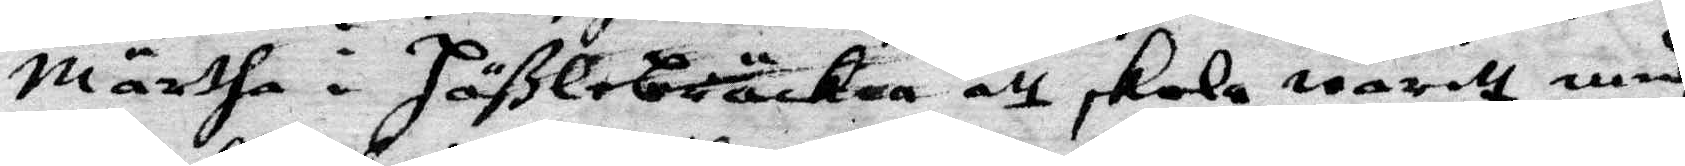Märtha i Häßlebräcken att skola waritt medh
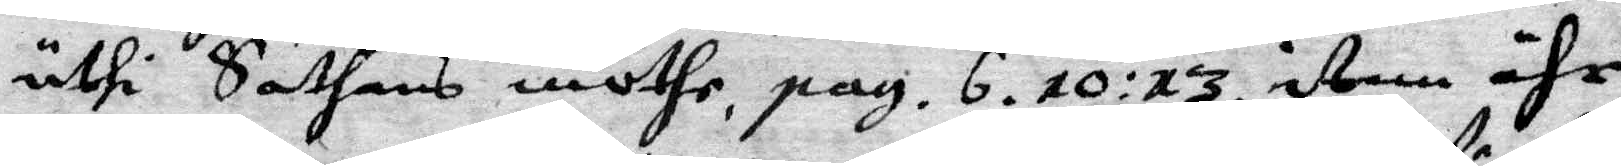uthi Sathans möthe, pag. 6. 10. 13. item ähr
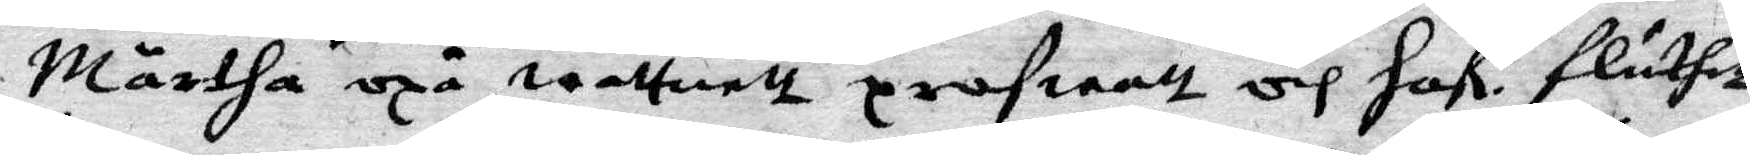Märtha oxå wattnett profwatt och Haf: flutett
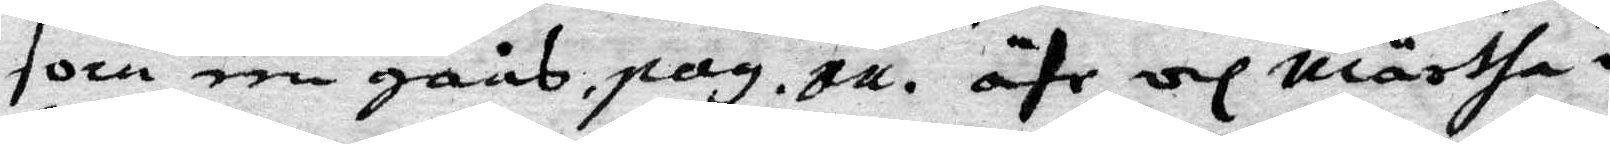som een gåås, pag 11. ähr och Märtha i
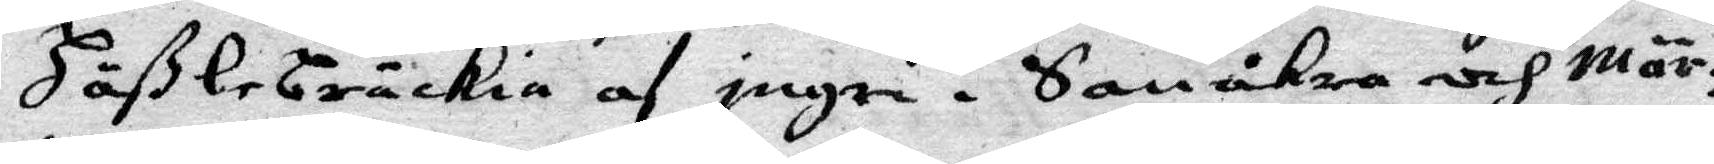Häßlebräckia af ingri i Sanåkra och Mär¬
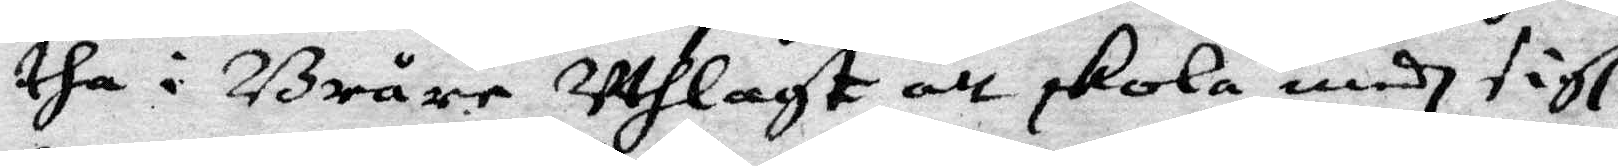tha i Bråre Uthlagt att skola medh sigh
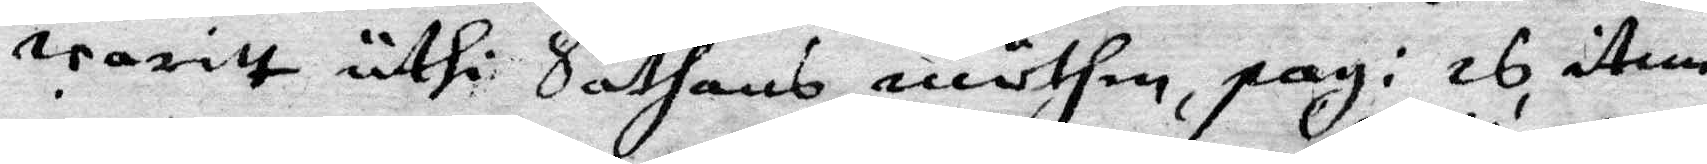waritt uthi Sathans möthen, pag: 26, item
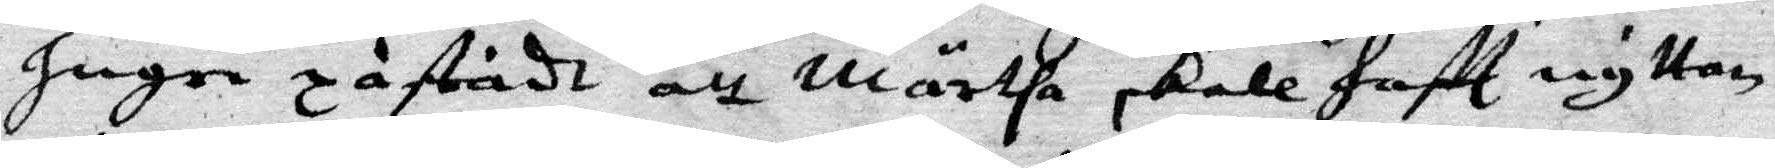Ingri påstådt att Märtha skole Haftt nyttan
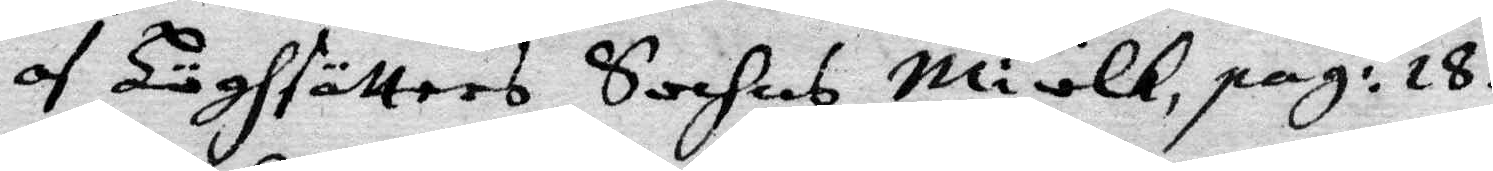af Höghsätters Sochns Miölk, pag: 18.
